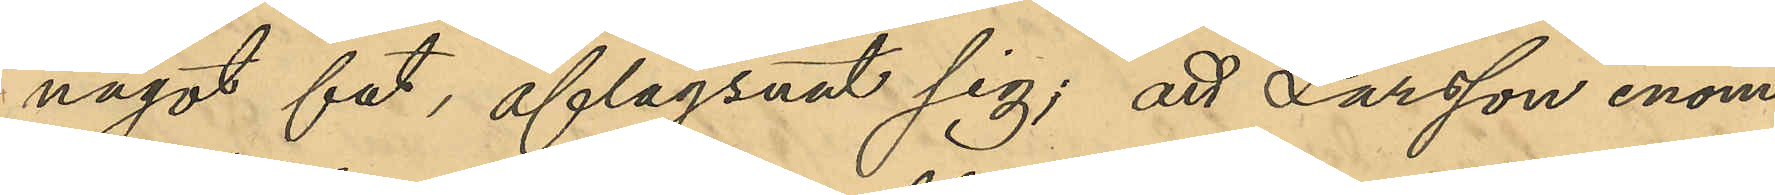något fat, aflägsnat sig; att Larsson inom
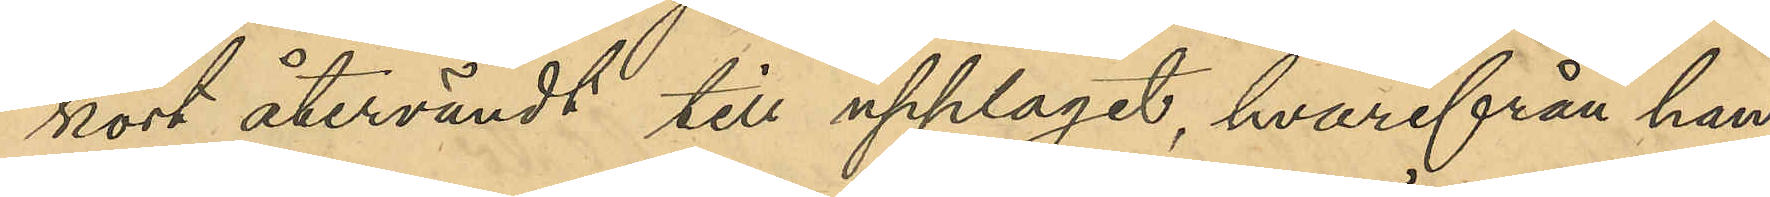kort återvändt till upplaget, hvarifrån han
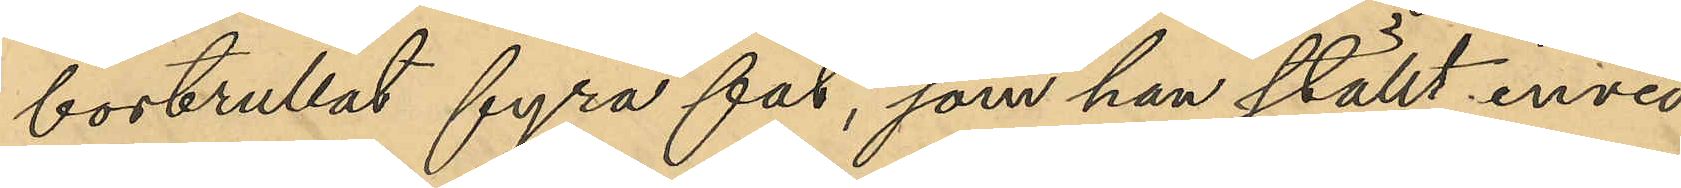bortrullat fyra fat, som han ställt invid
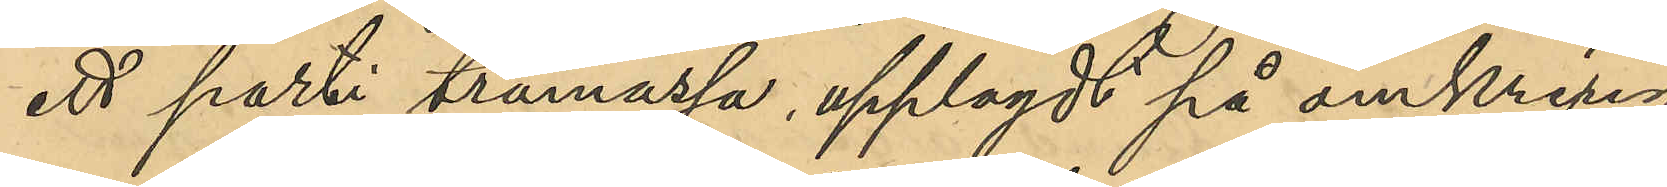ett parti trämassa, upplagdt på en omkring
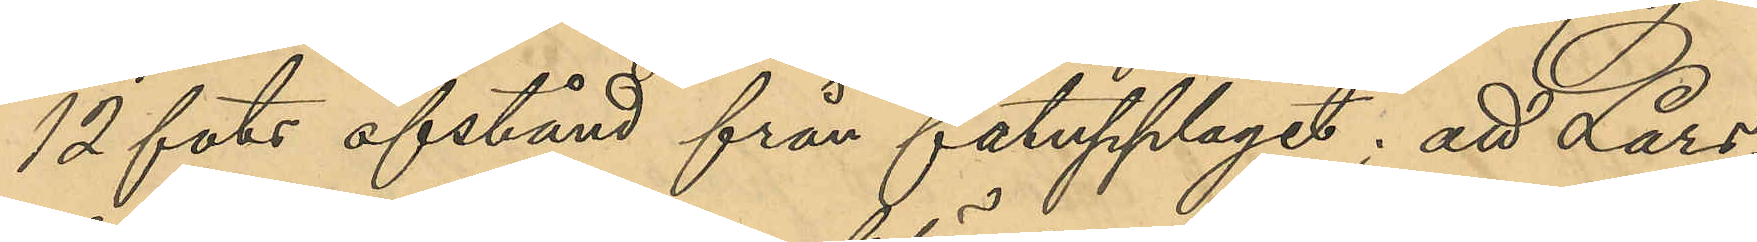12 fots afstånd från fatupplaget; att Lars¬
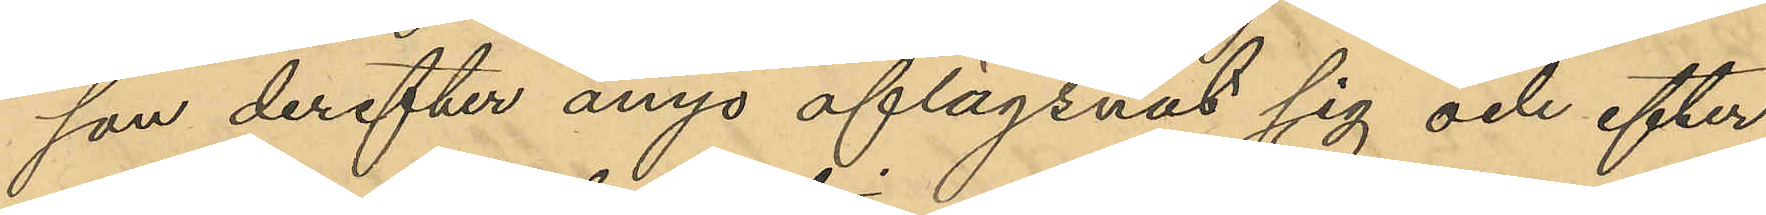son derefter ånyo aflägsnat sig och efter
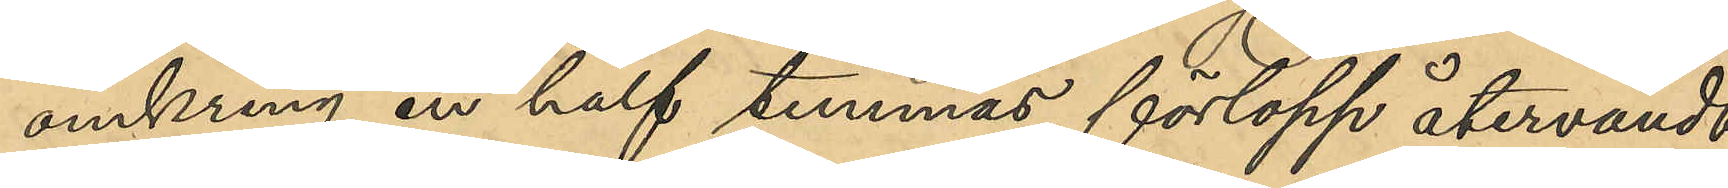omkring en half timmes förlopp återvändt,
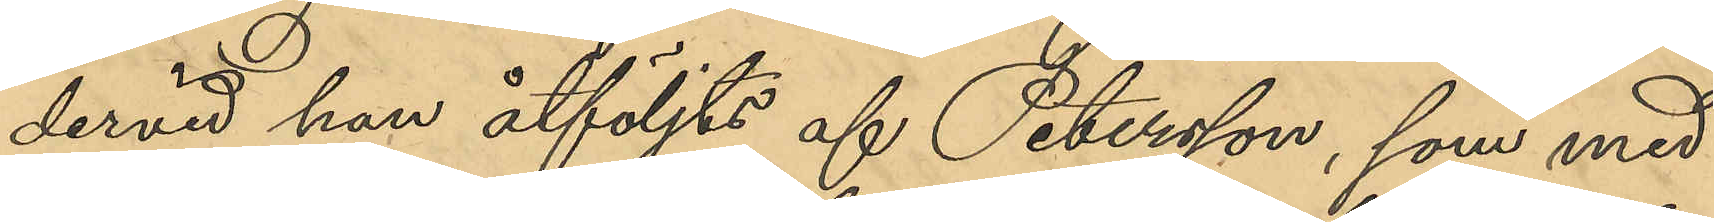dervid han åtföljts af Petersson, som med¬
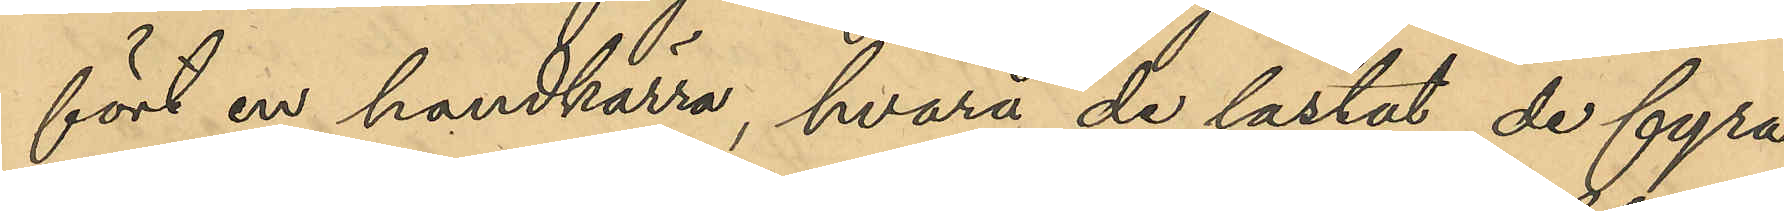fört en handkärra, hvarå de lastat de fyra
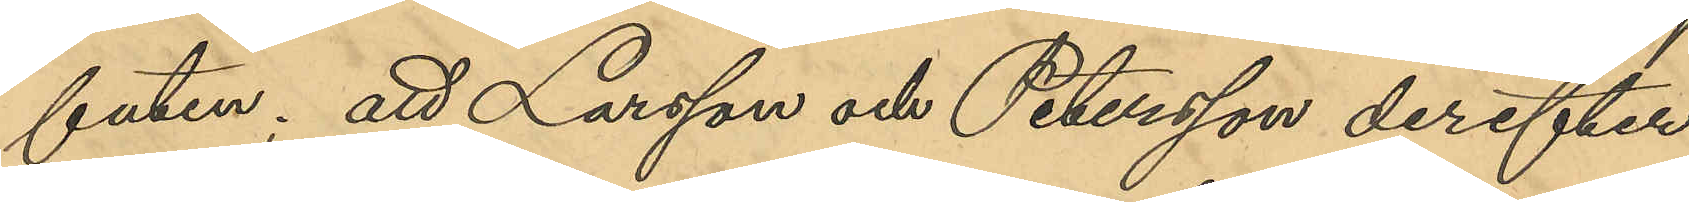faten; att Larsson och Petersson derefter
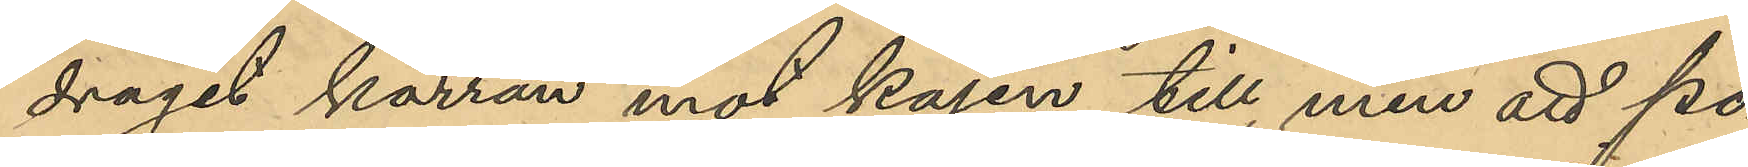dragit kärran mot kajen till, men att po¬
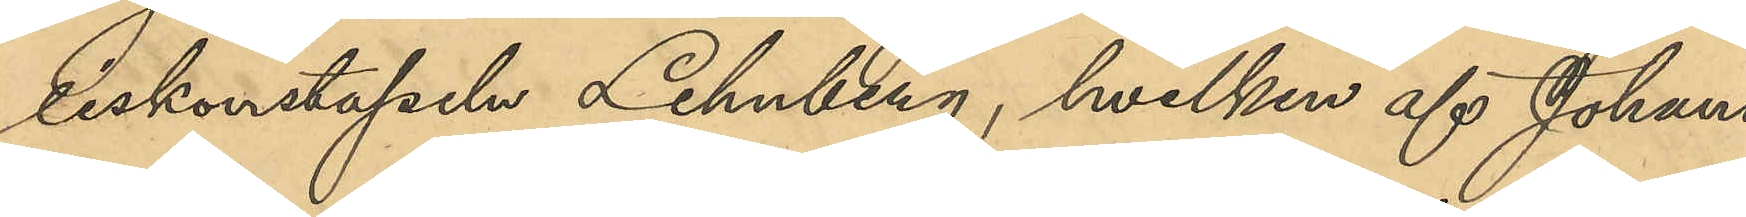liskonstapeln Lehnberg, hvilken af Johans¬
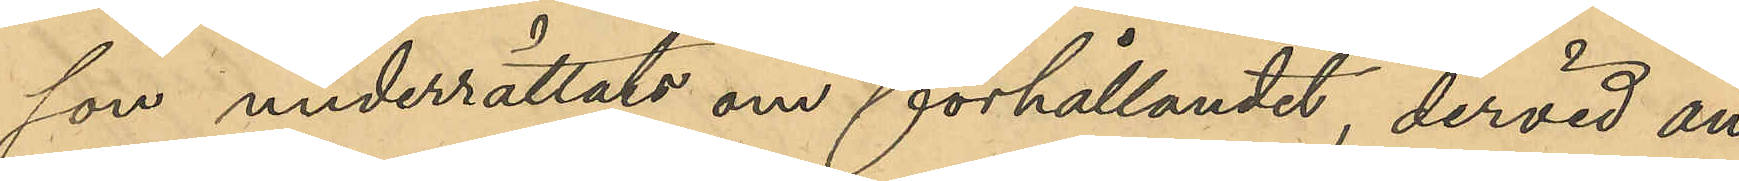son underrättats om förhållandet, dervid an¬
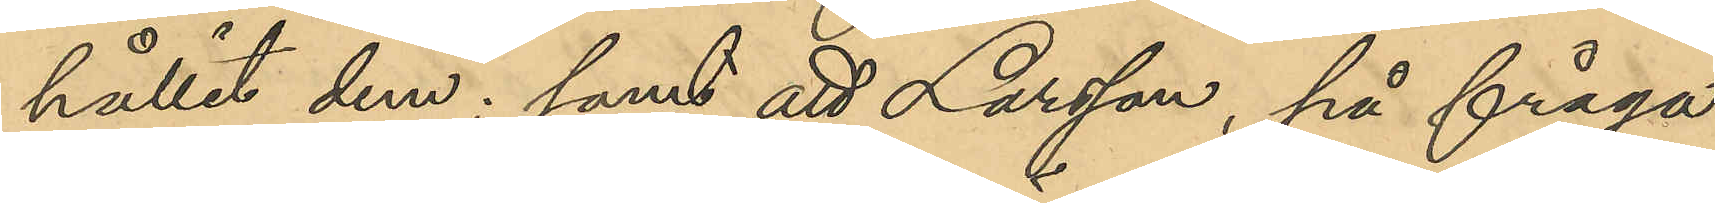hållit dem; samt att Larsson, på fråga
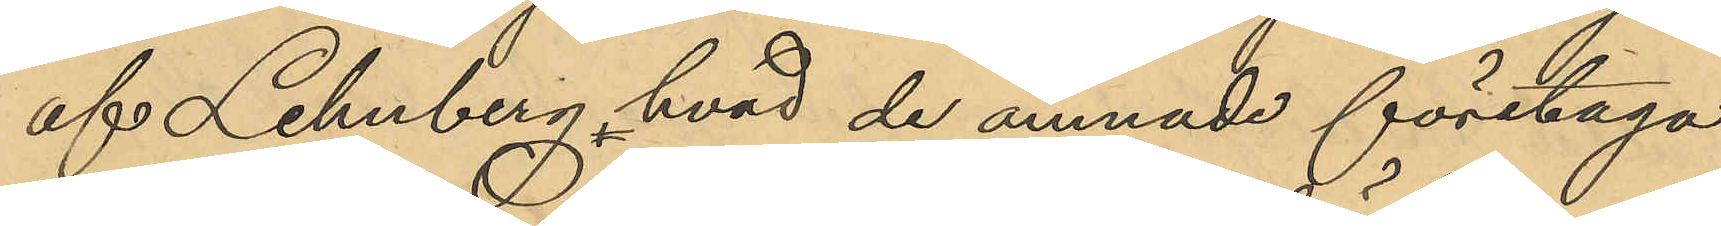af Lehnberg, hvad de ämnade företaga
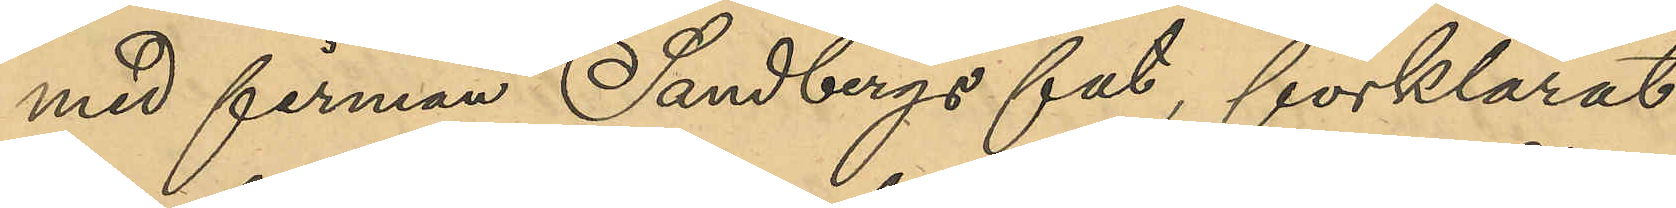med firman Sandbergs fat, förklarat
